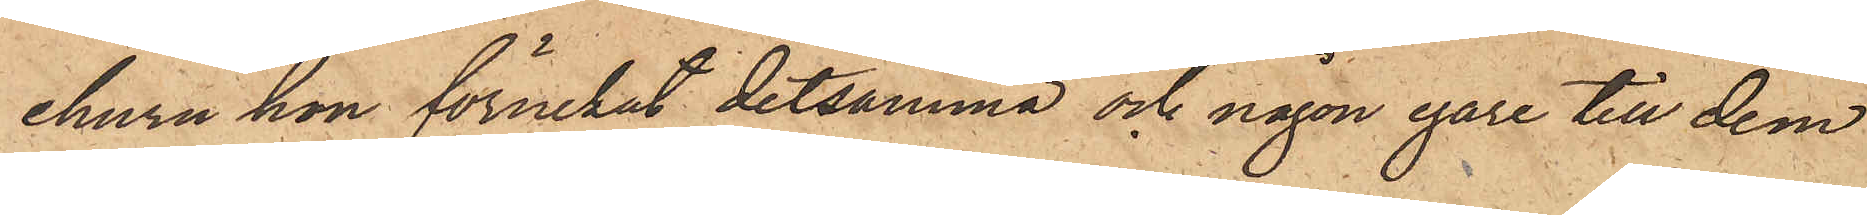ehuru hon förnekat detsamma och någon egare till dem
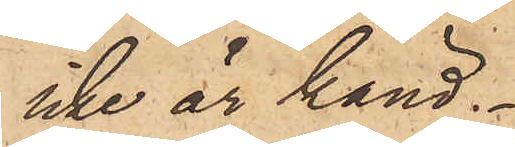icke är känd.
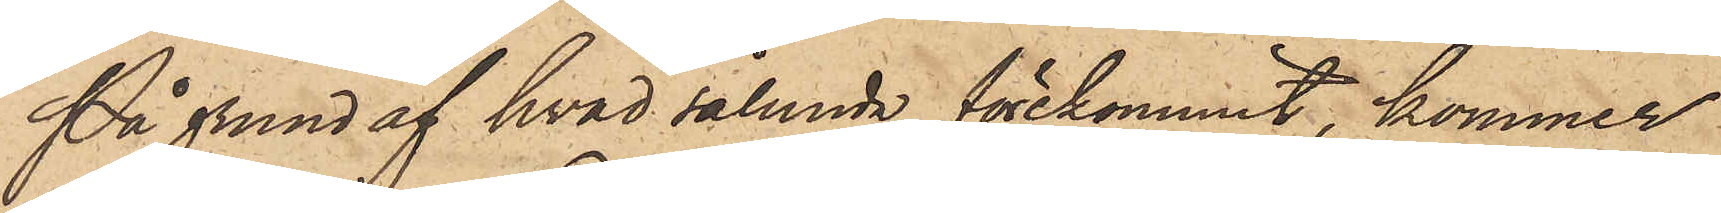På grund af hvad sålunda förekommit, kommer
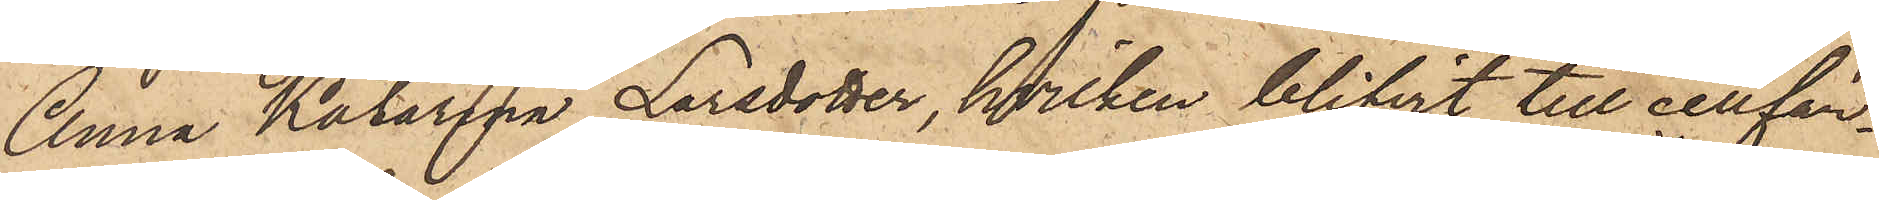Anna Katarina Larsdotter, hvilken blifvit till cellfän¬
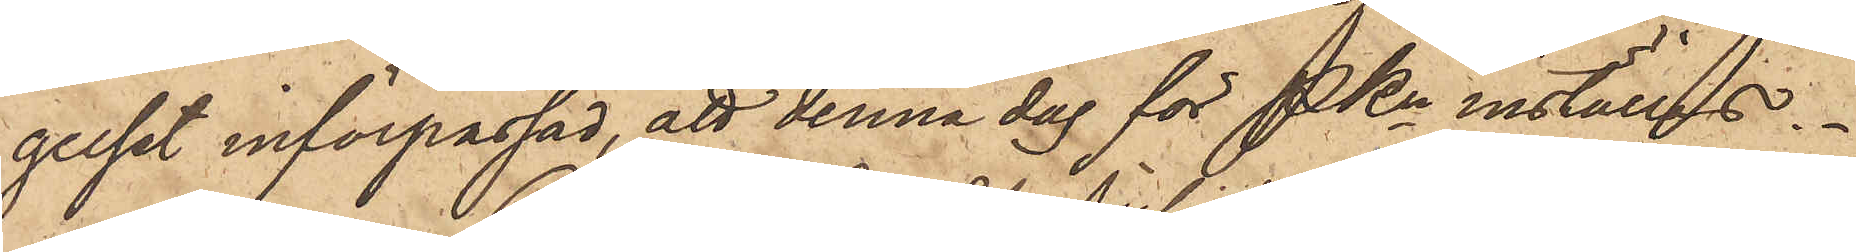gelset införpassad, att denna dag för PKn inställas.
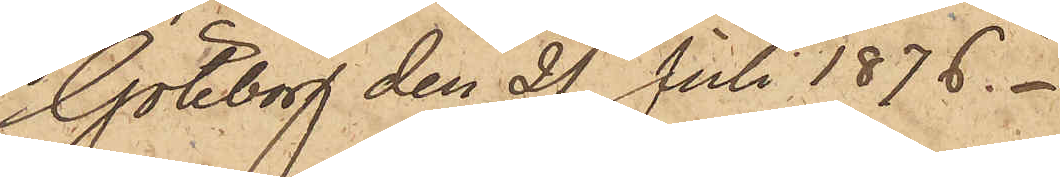Göteborg den 21 Juli 1876.
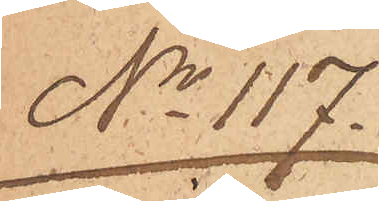No 117.
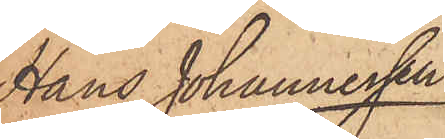Hans Johannessen
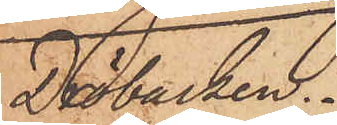Dröbacken
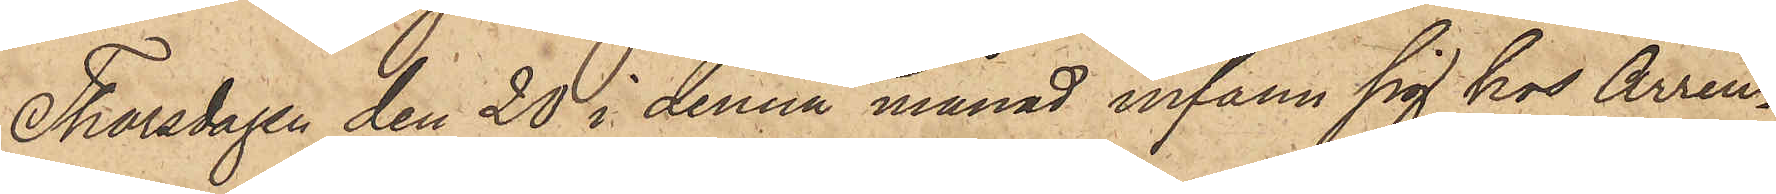Thorsdagen den 20 i denna månad infann sig hos Arren¬
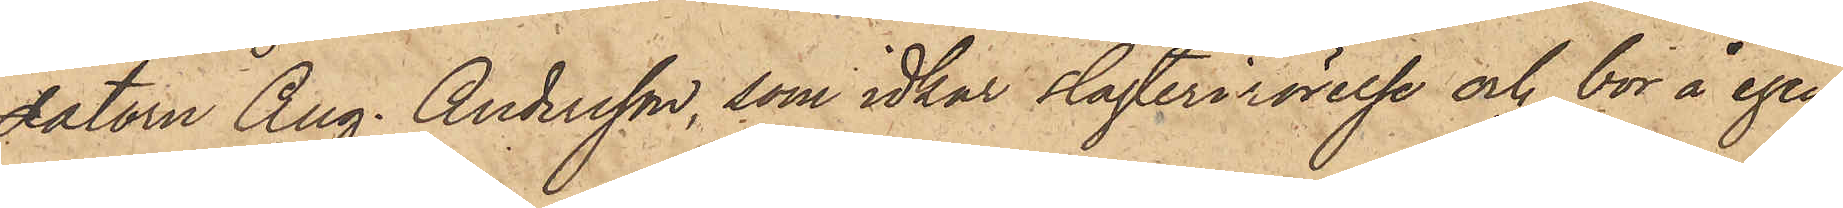datorn Aug. Andersson, som idkar slagterirörelse och bor å egen¬
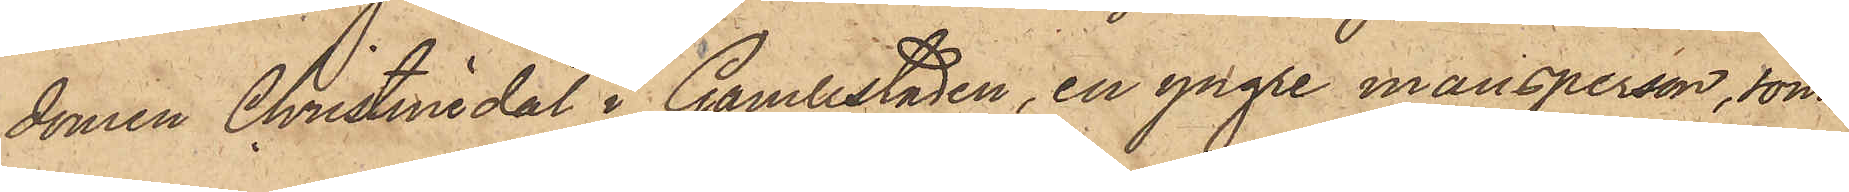domen Christinedal i Gamlestaden, en yngre mansperson, som
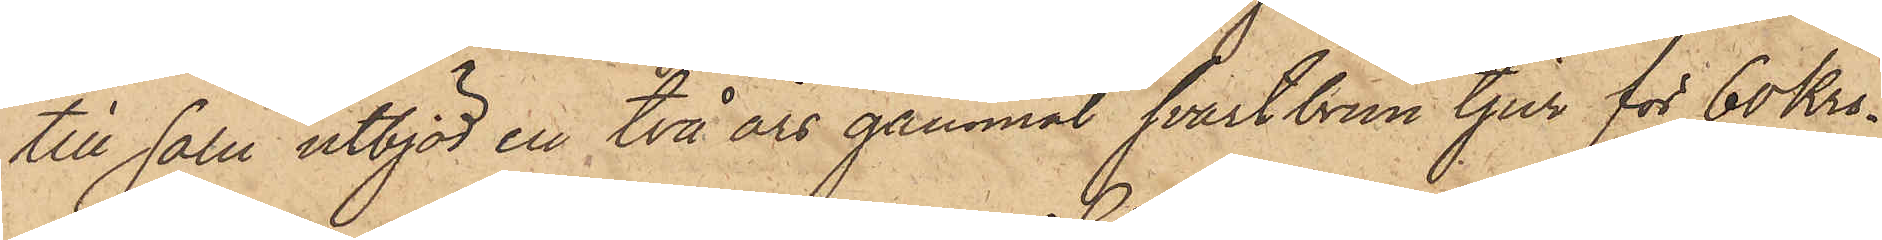till salu utbjöd en två års gammal svartbrun tjur för 60 Kro¬
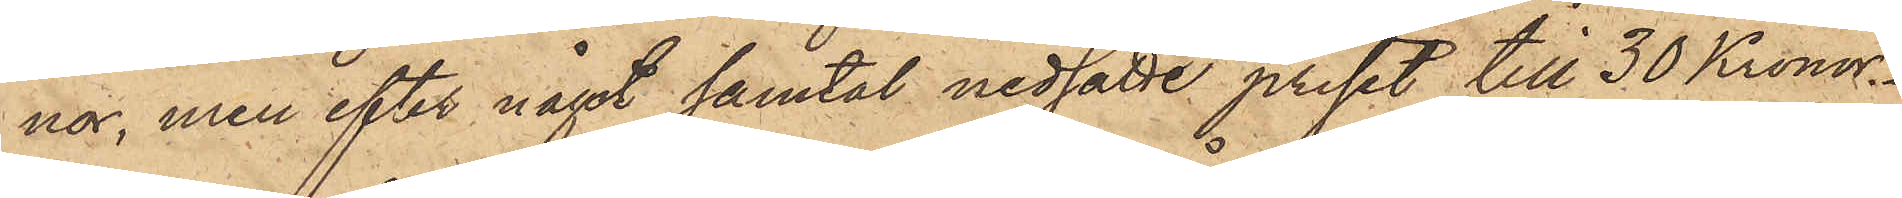nor, men efter något samtal nedsatte priset till 30 Kronor.
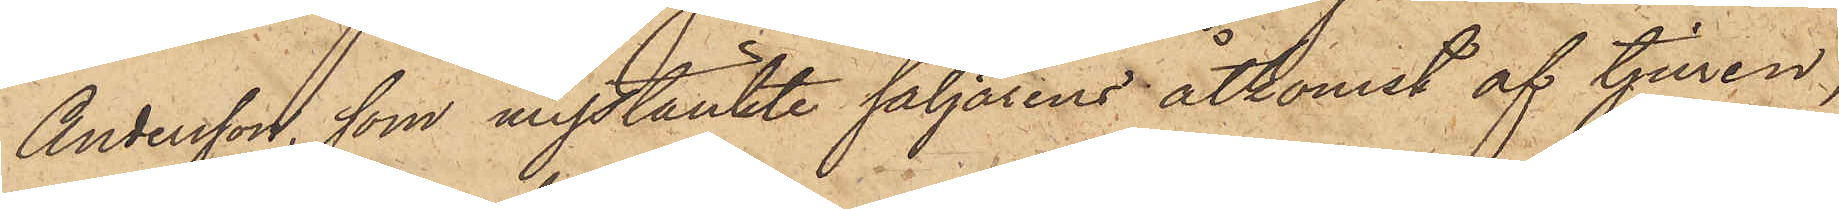Andersson, som misstänkte säljarens åtkomst af tjuren,
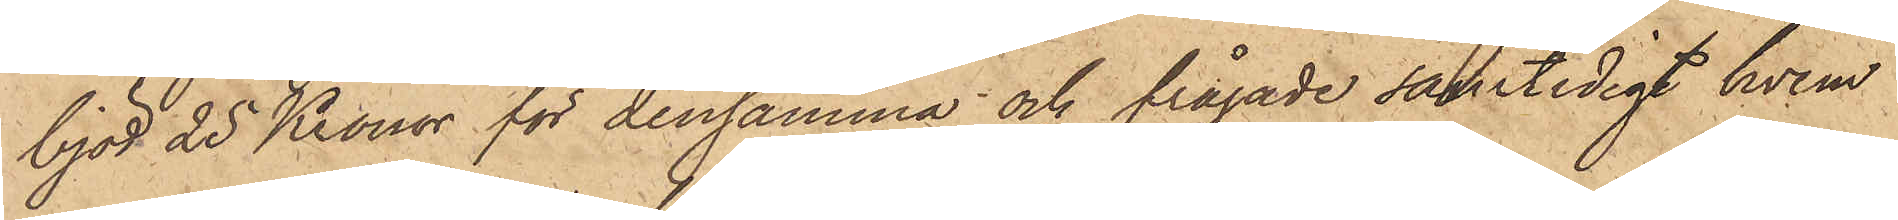bjöd 25 Kronor för densamma och frågade samtidigt hvem
